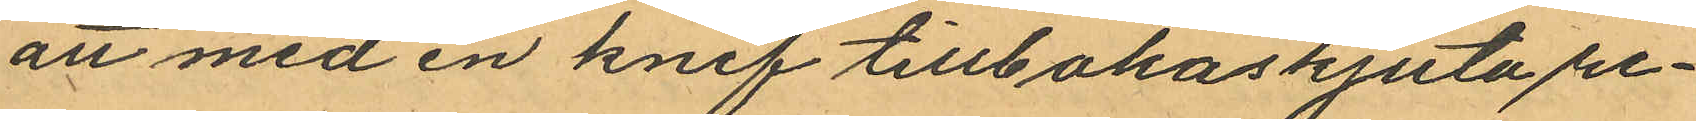att med en knif tillbakaskjuta re¬
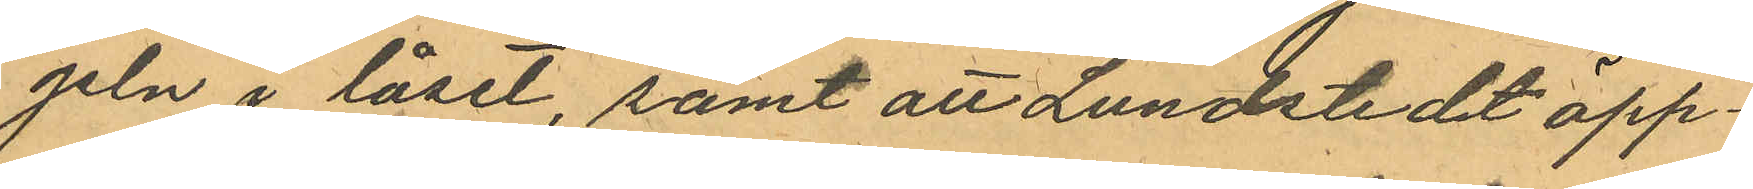geln i låset, samt att Lundstedt öpp¬
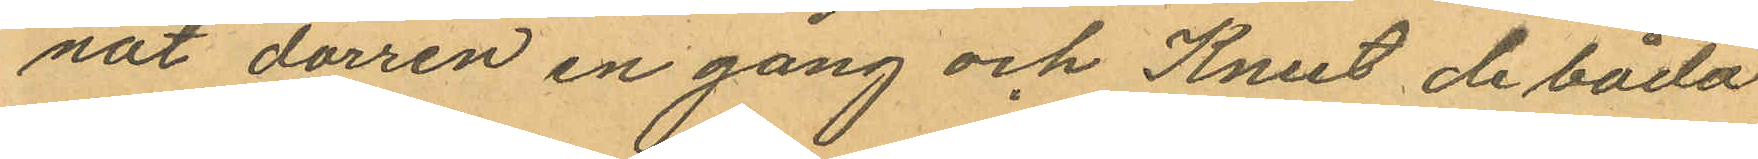nat dörren en gång och Knut de båda
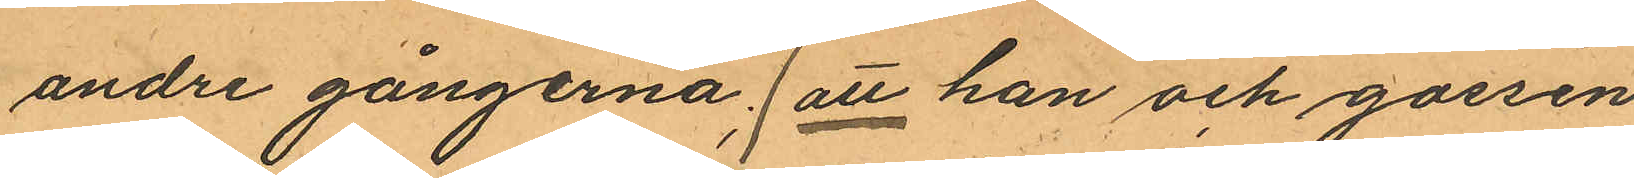andre gångerna; att han och gossen
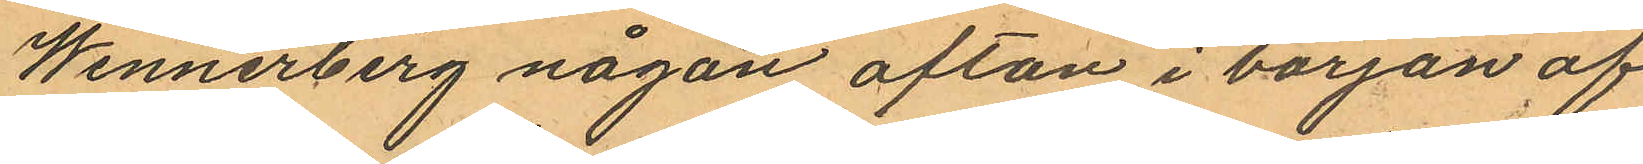Wennerberg någon afton i början af
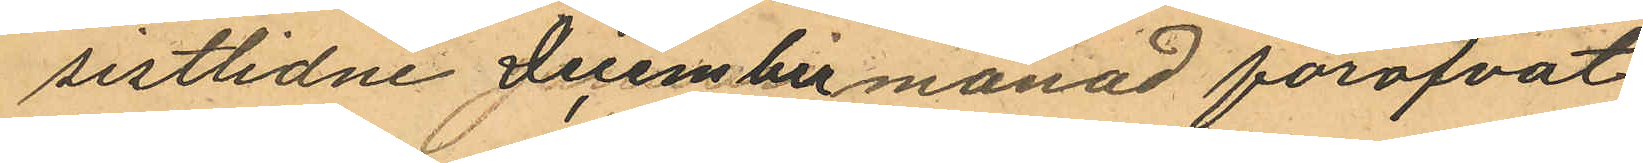sistlidne December månad föröfvat
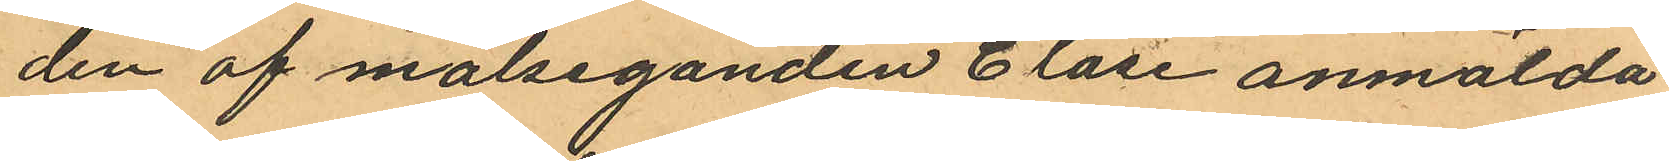den af målseganden Clase anmälda
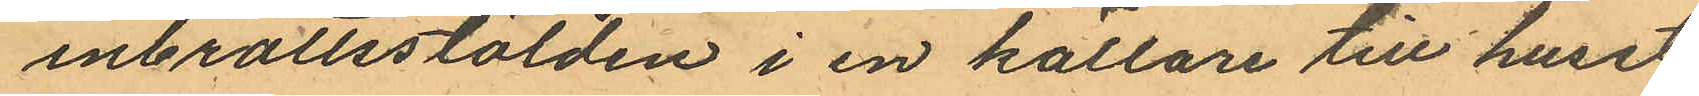inbrottsstölden i en källare till huset
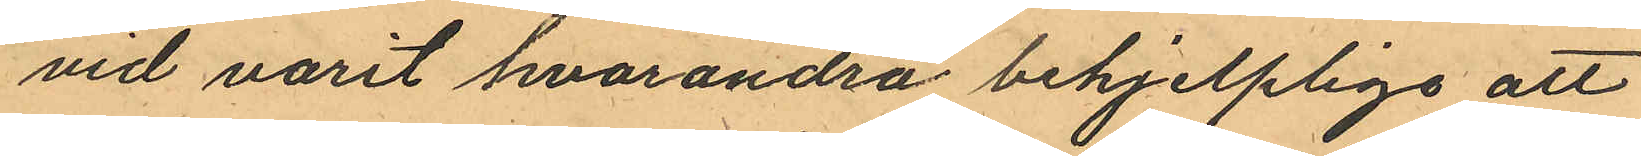vid varit hvarandra behjelpliga att
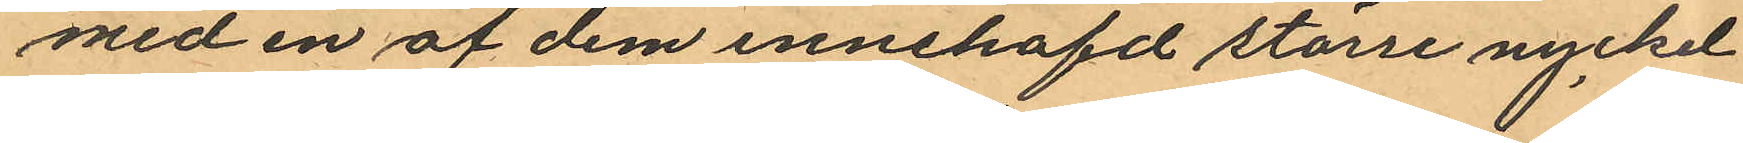med en af dem innehafd större nyckel
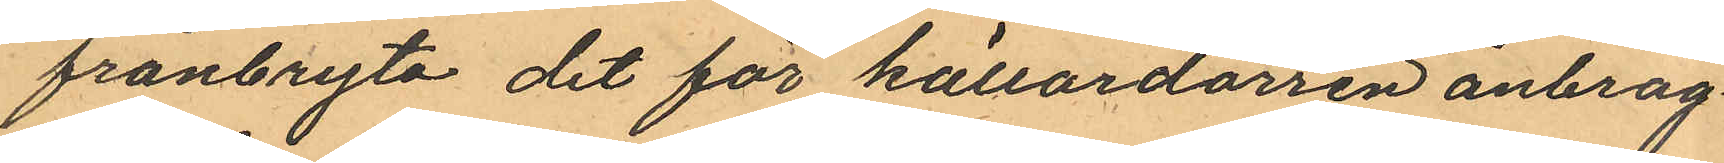frånbryta det för källardörren anbrag¬
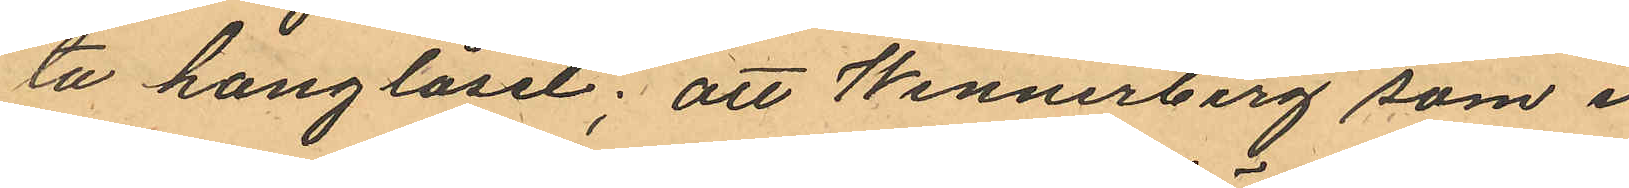ta hänglåset; att Wennerberg som i
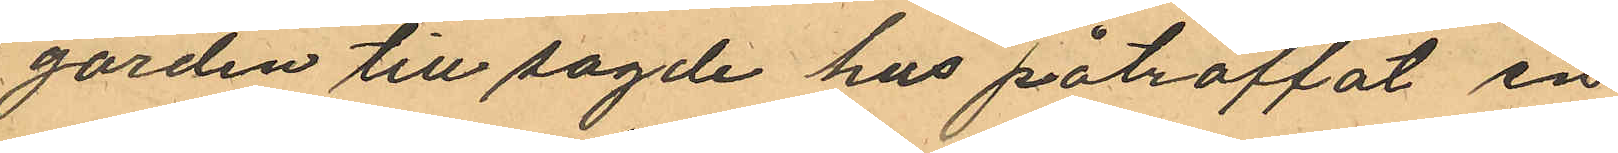gården till sagde hus påträffat en
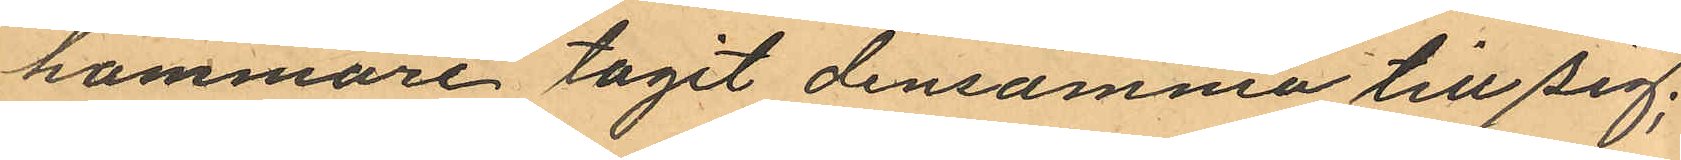hammare tagit densamma till sig;
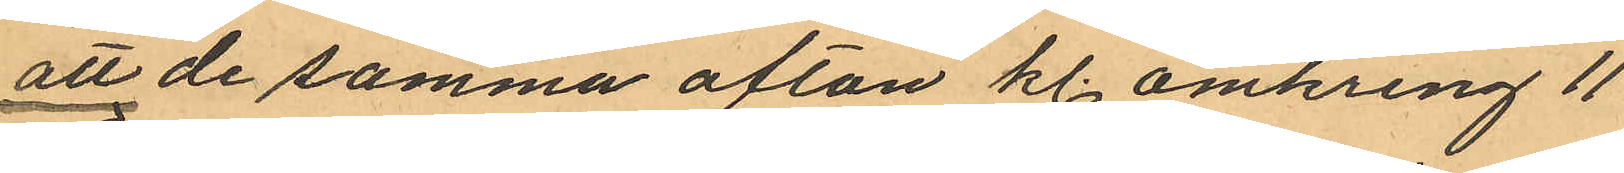att de samma afton kl. omkring 11
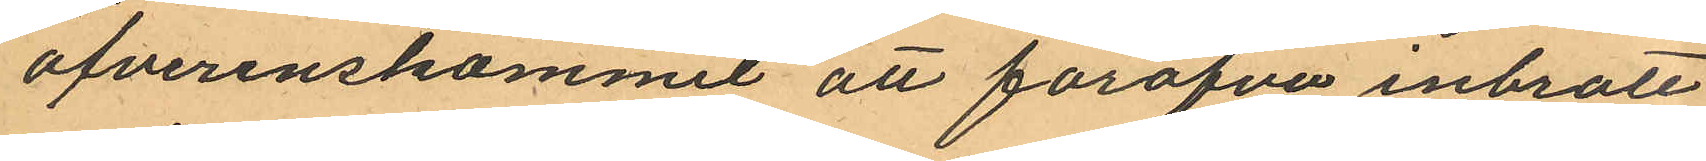öfverenskommit att föröfva inbrott
